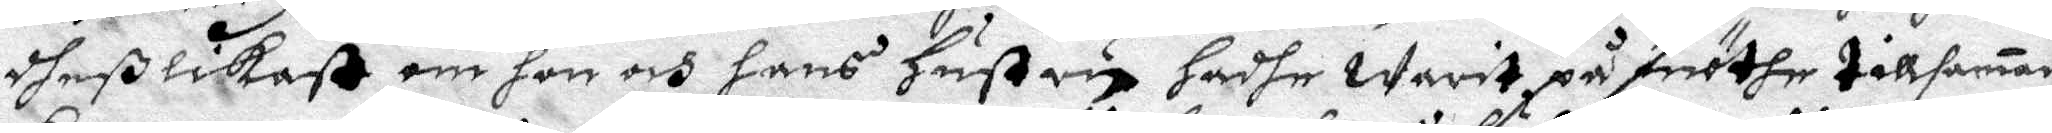dheßlikeß om hon och hans hustru hadhe warit på möthe tillsamman
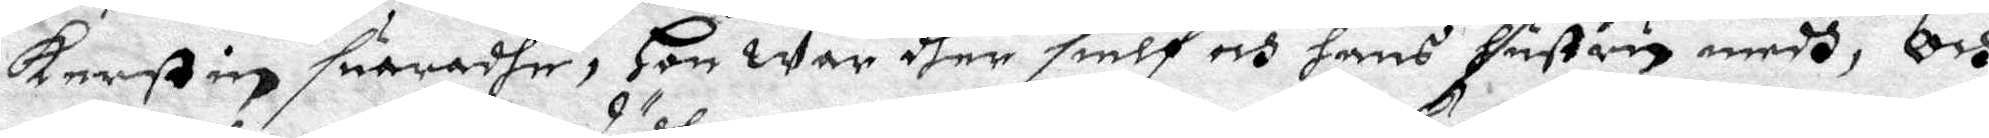Kerstin suaradhe, Hon war dher sielf och hans hustru medh, och
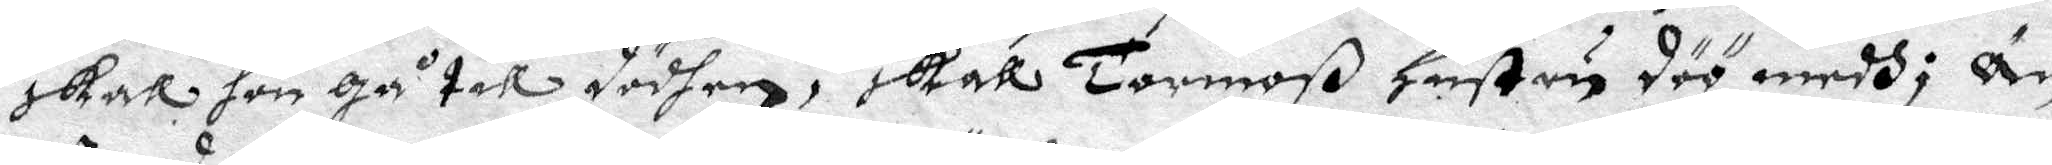skall hon Gå till döden, skall Tormoß hustru döö medh; Än
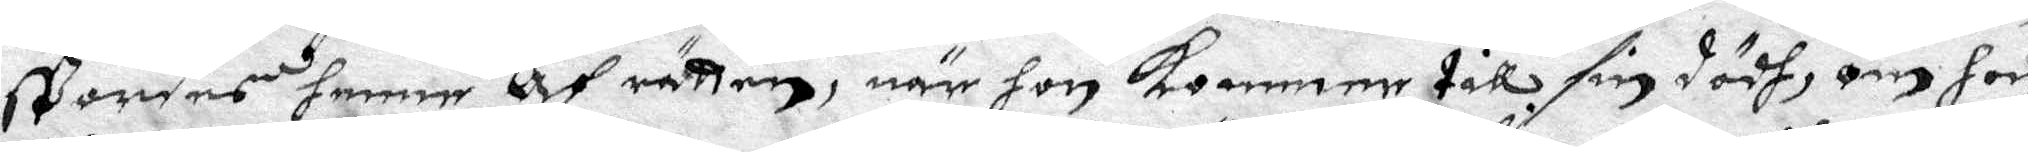APotdes henne Af rätten, när hon kommer till sin dödh, om hon
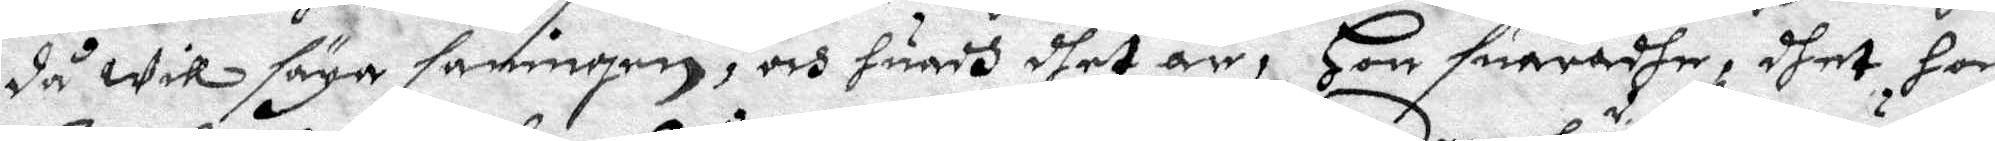då will säga sanningen, och huadh dhet är, Hon suaradhe, dhet hon
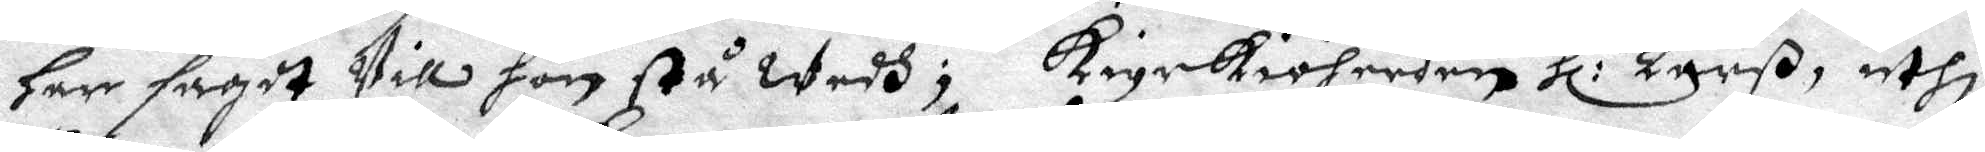har sagdt Vill hon stå wedh; kyrkioherden Hl: Larß, uthi
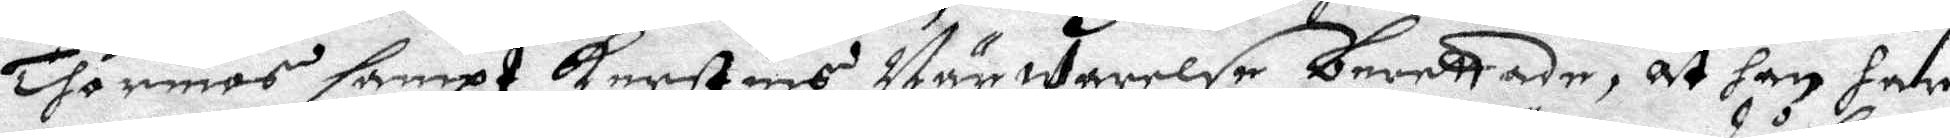Thormos sampt Kerstins Närwarelse berettade, at han har
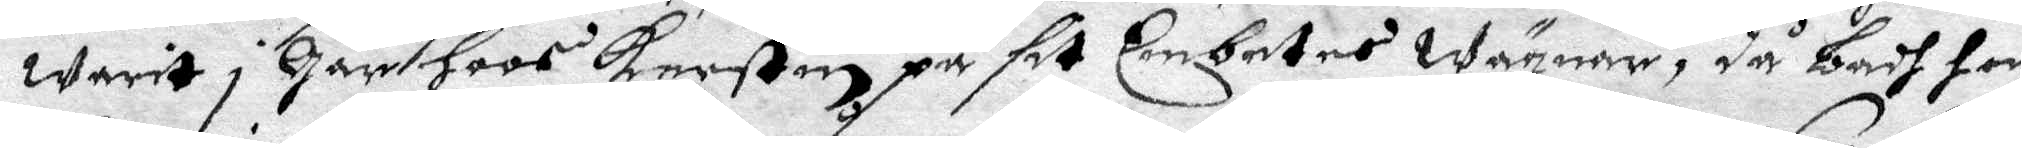warit i Går hoos Kerstin på sit Embetes wägnar, då badh hon
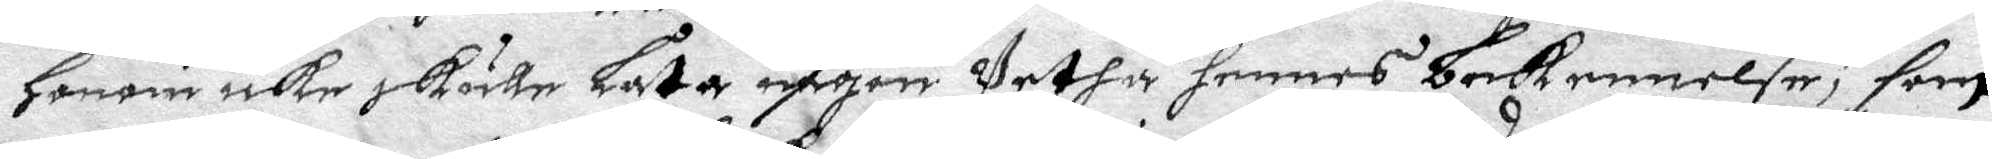honom icke skulle Låta någon Vetha hennes bekennelse, som
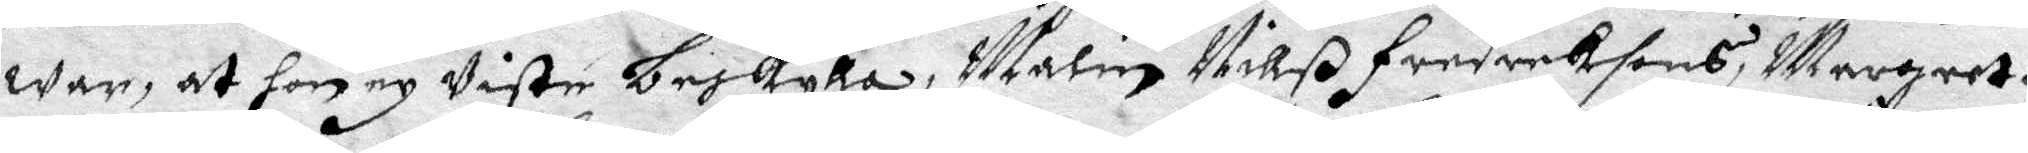war, at hon ey Viste beskylla, Malin Nill Fredriksons, margareta
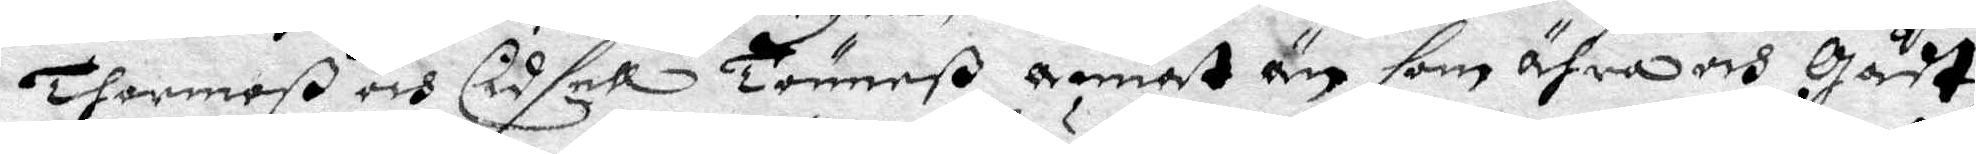Thormoß och Cidsel Tönneß annat än som ähra och Gådt
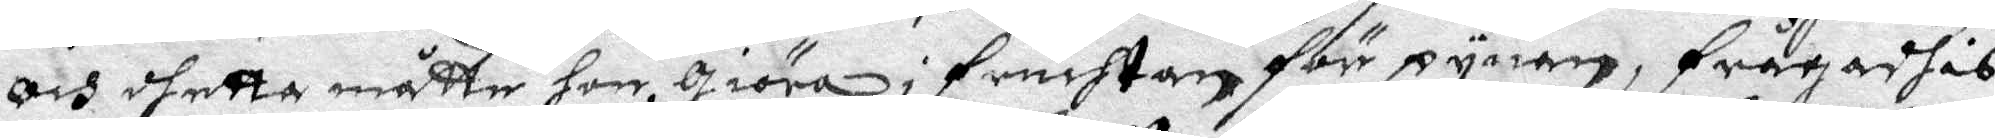och dhetta måtte hon Giöra i fruchtan för pynan, frågadhes
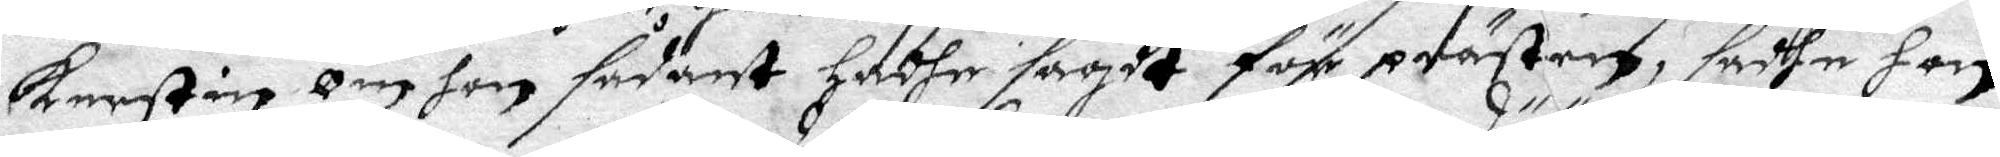kerstin, om hon sådant hadhe sagdt för prästen, sadhe hon
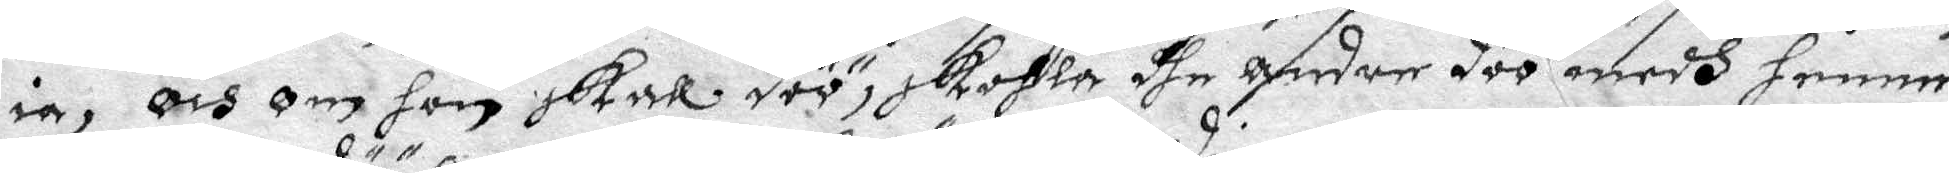ia, och om hon skall döö, skohla dhe andre döö medh henne,
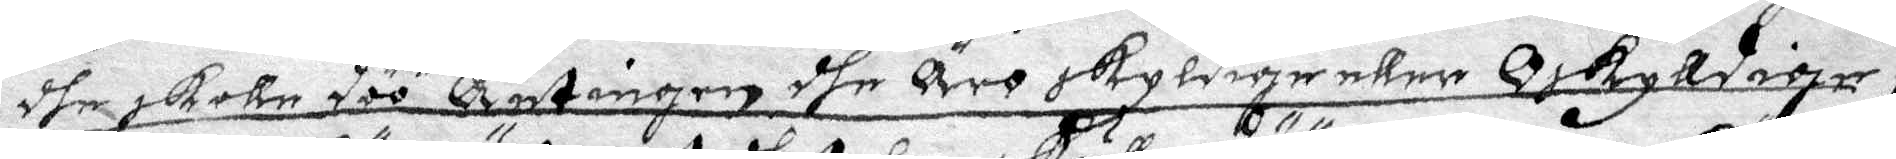dhe skolla döö antingen dhe äro skyldige eller oskylldige;
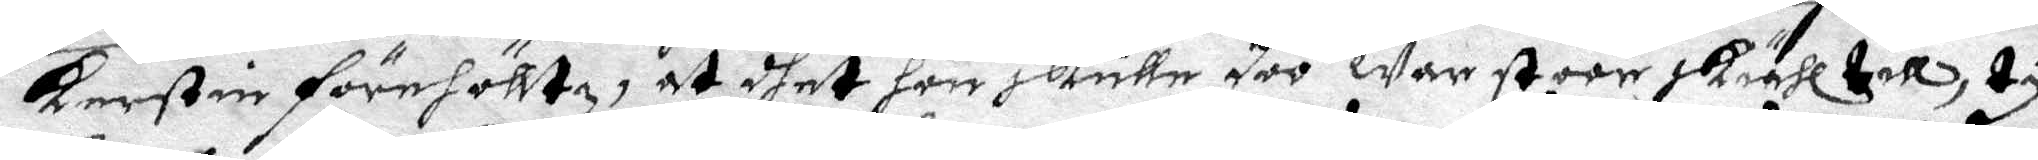Kerstin flrehölltz, at dhet hon skulle döö war stoor skiähl till ty
